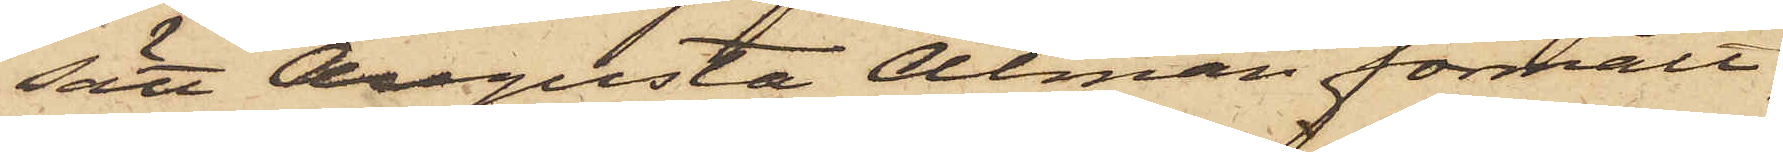sätt Augusta Alman förmält,
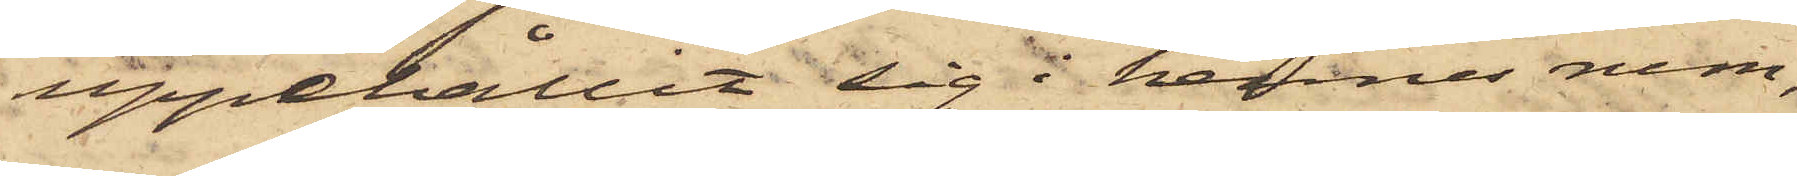uppehållit sig i hennes rum,
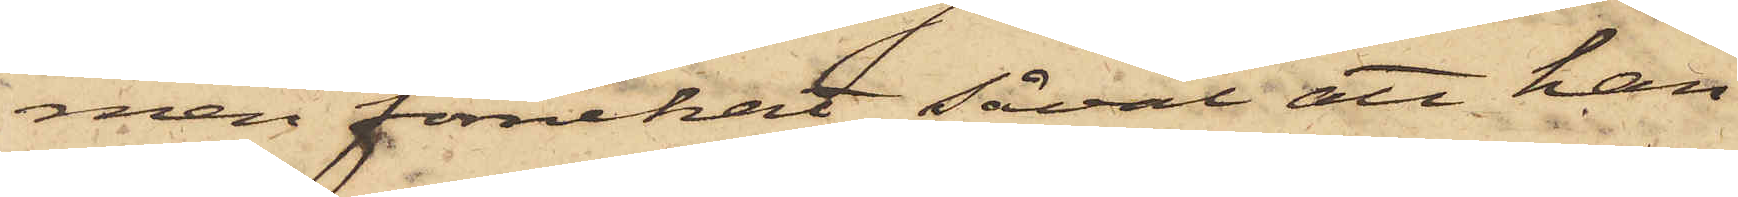men förnekat såväl att han
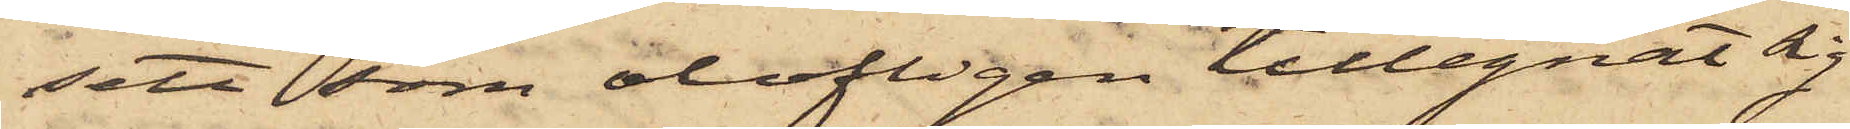sett som olofligen tillegnat sig
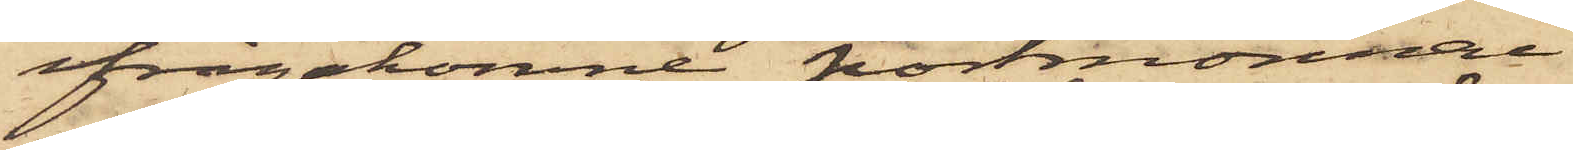ifrågakomne portmonnai.
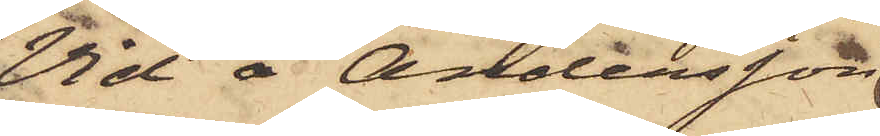Vid å Andersson
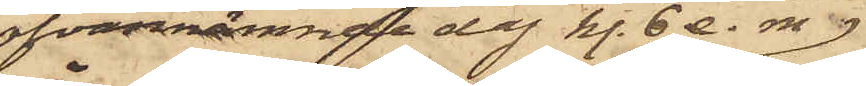ofvannämnde dag kl. 6 e. m.
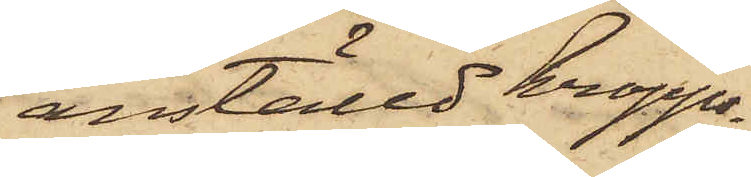anställd kropps¬
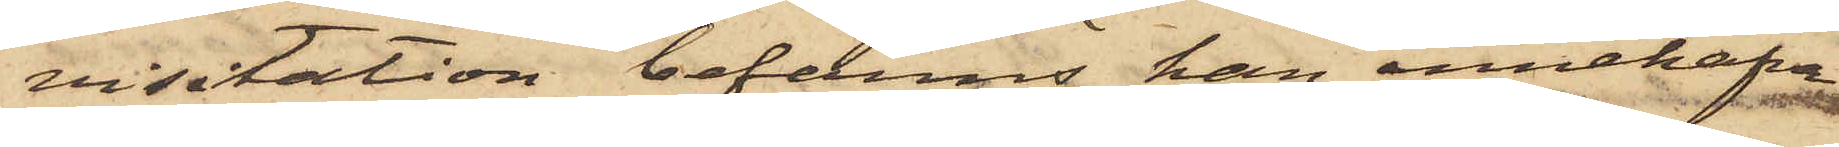visitation befanns han innehafva
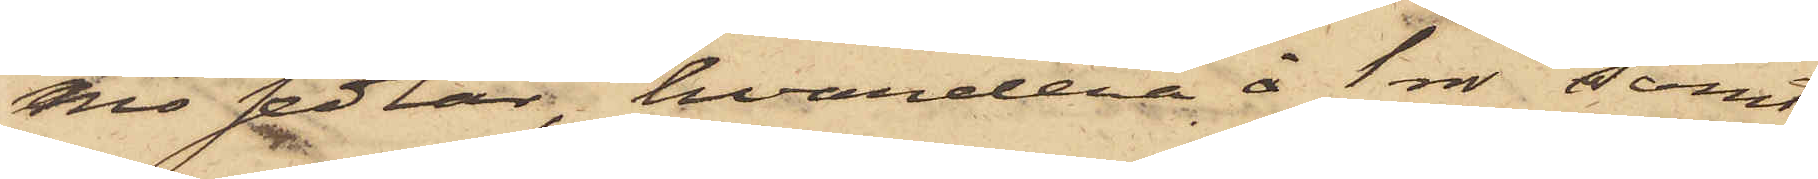nio sedlar, hvardera å 1 dr samt
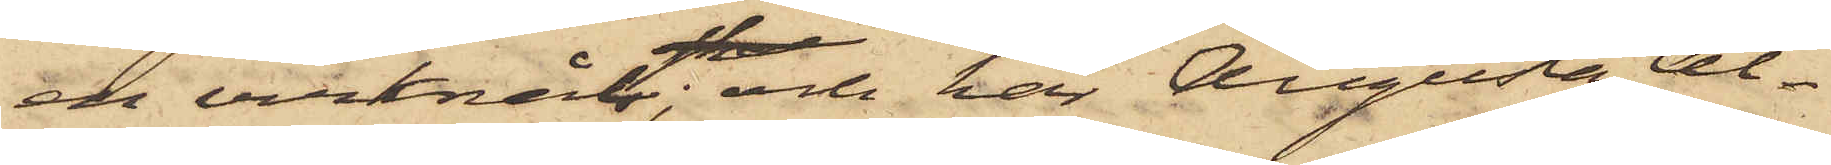en virknål; och har Augusta Al¬
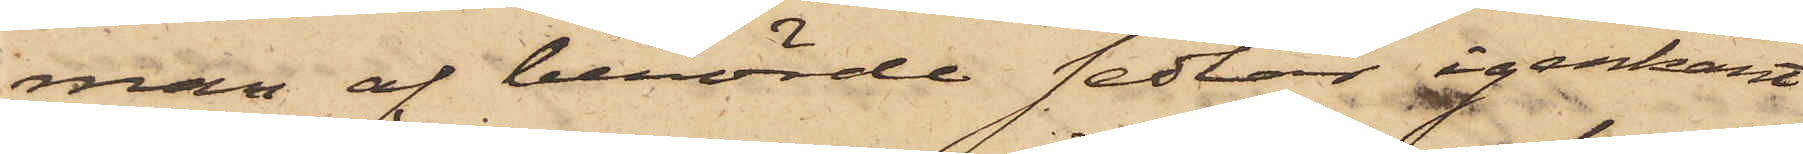man af berörde sedlar igenkänt
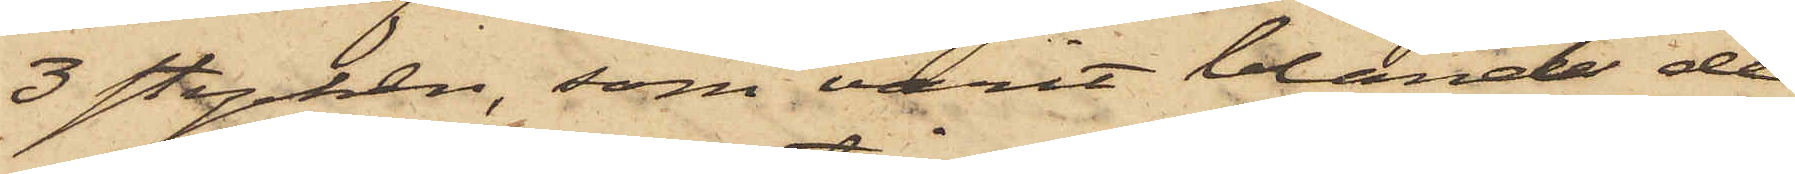3 stycken, som varit bland de
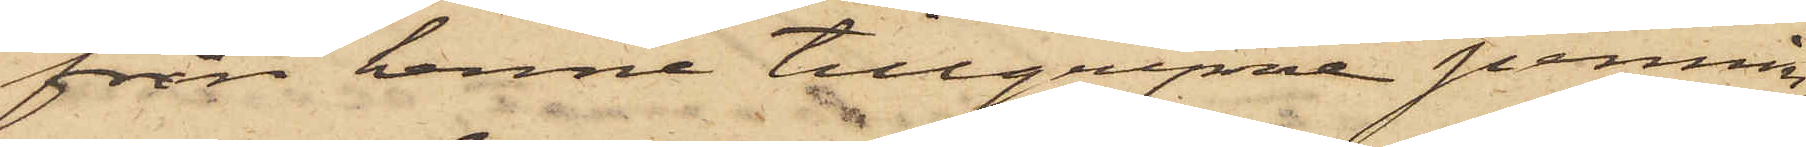från henne tillgripne pennin¬
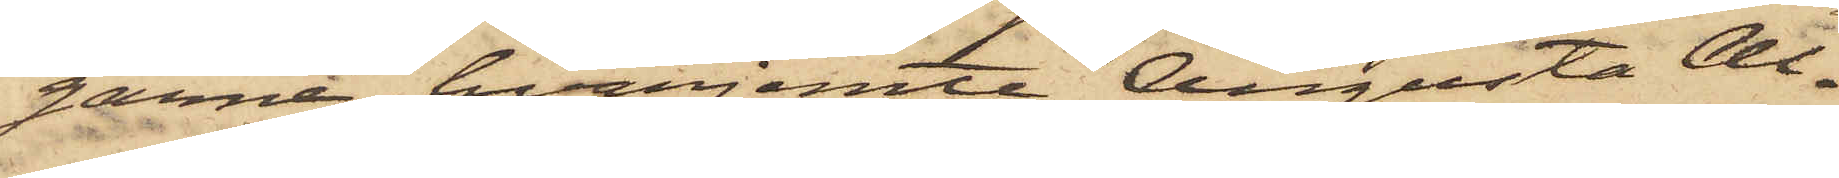garne, hvarjemte Augusta Al¬
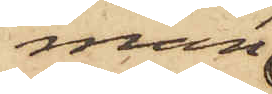man
